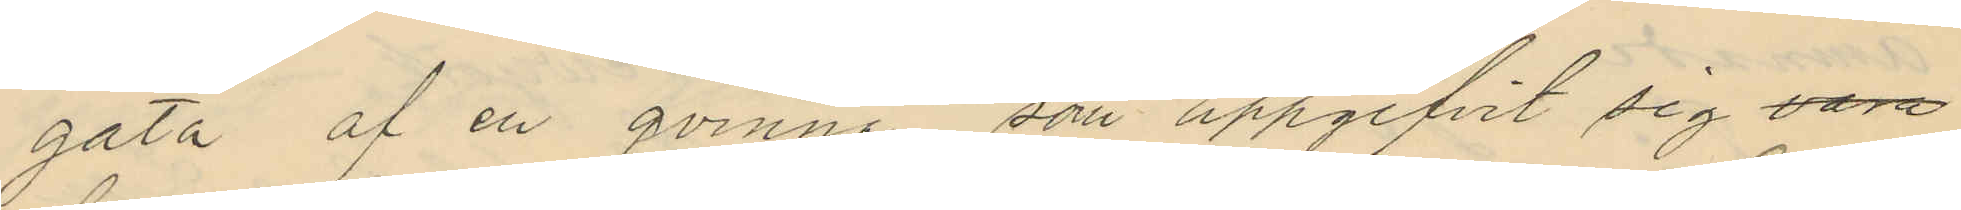gata af en qvinna som uppgifvit sig vara
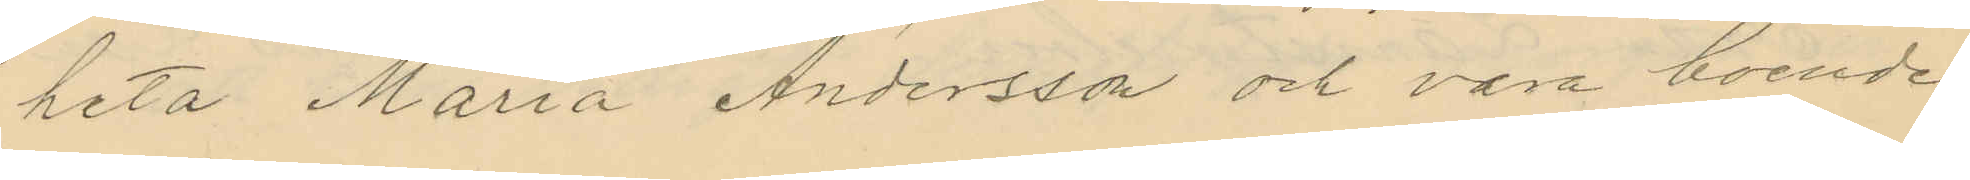heta Maria Andersson och vara boende
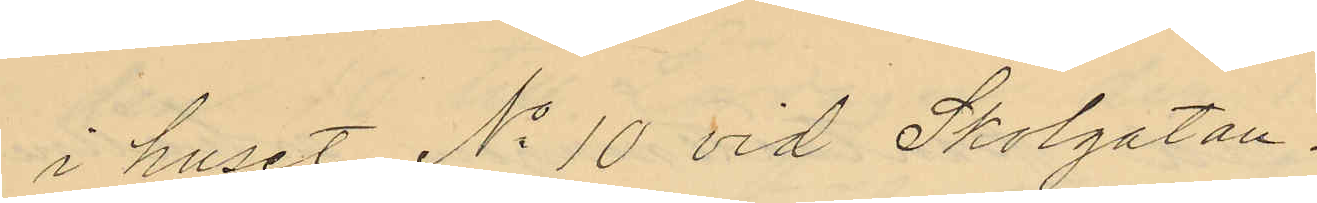i huset No 10 vid Skolgatan.
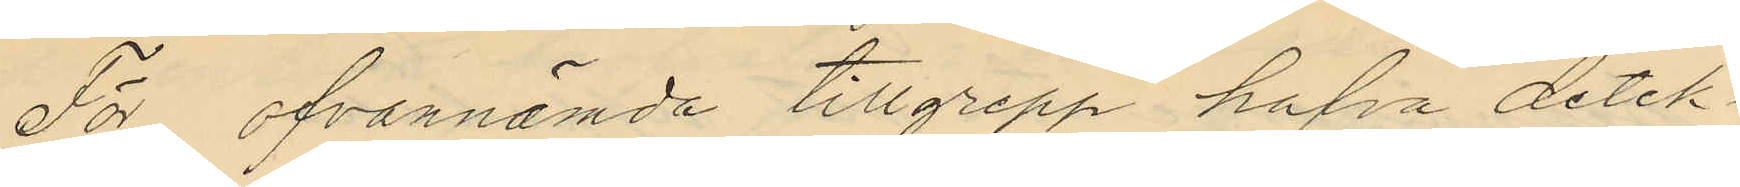För ofvannämde tillgrepp hafva detek¬
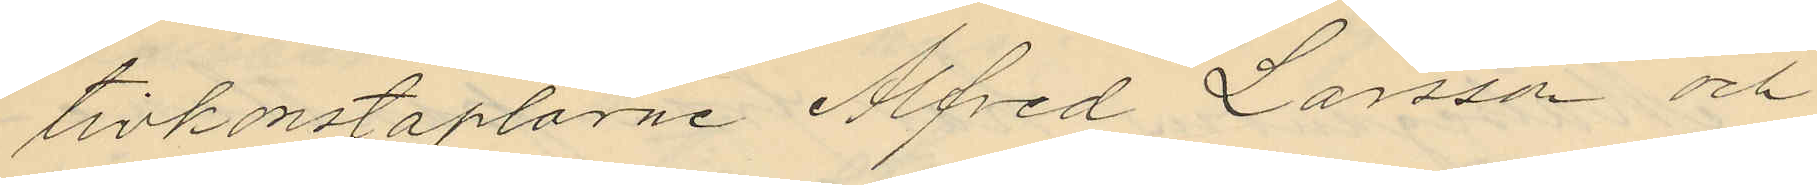tivkonstaplarne Alfred Larsson och
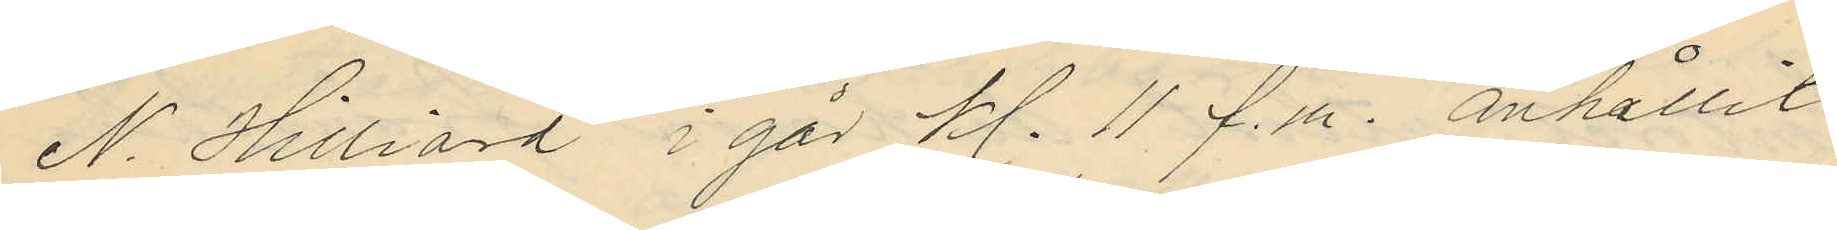N. Hilliard i går kl. 11 f.m. anhållit
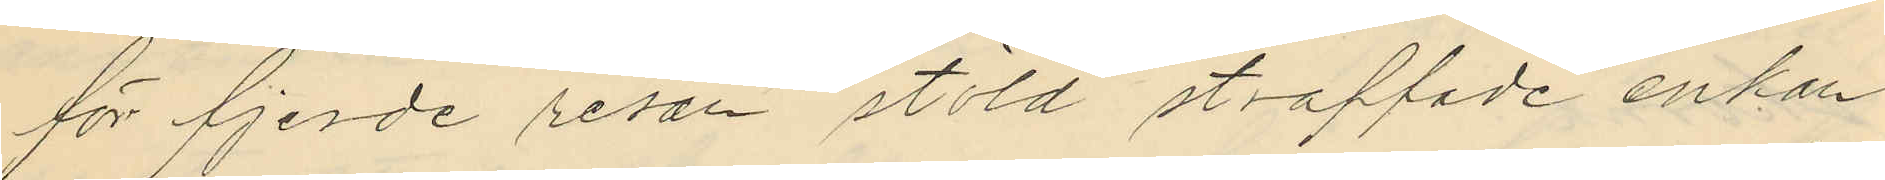för fjerde resan stöld straffade enkan
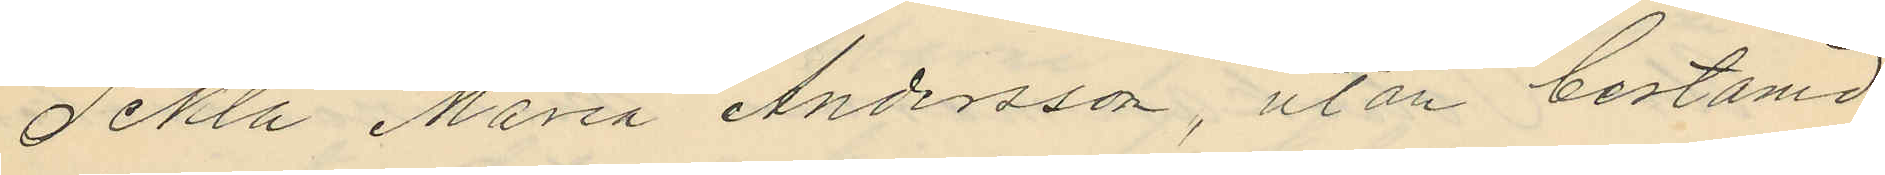Tekla Maria Andersson, utan bestämd
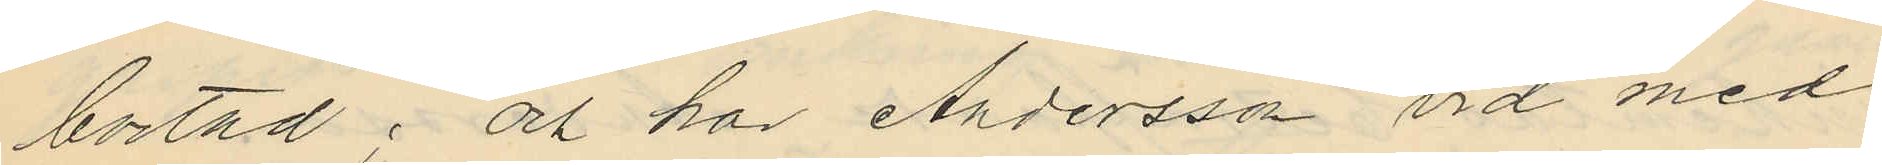bostad; och har Andersson vid med
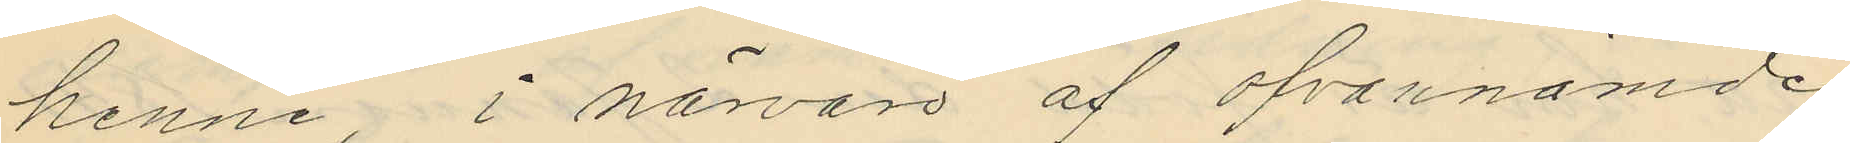henne i närvaro af ofvannämde
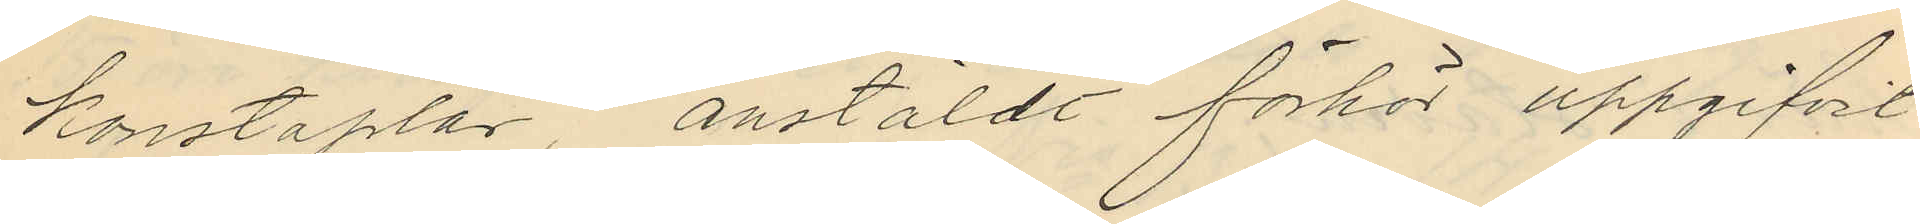konstaplar anstäldt förhör uppgifvit
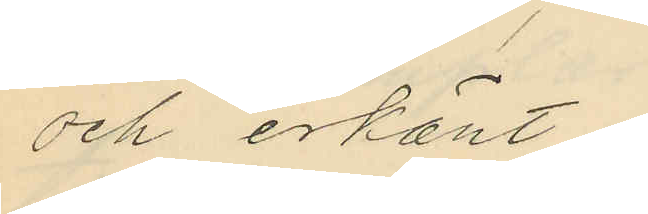och erkänt:
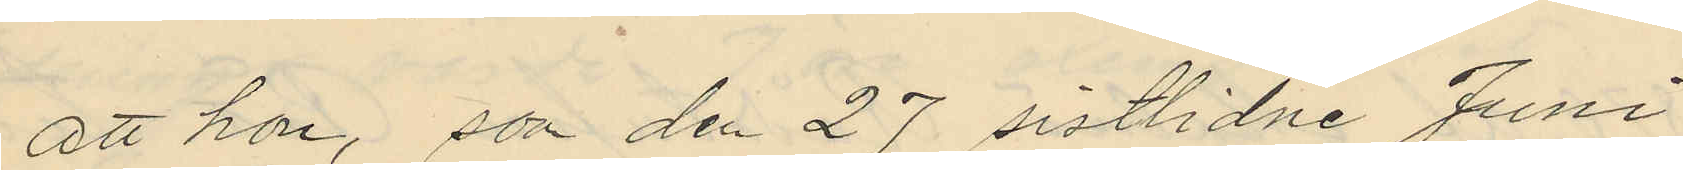att hon, som den 27 sistlidne Juni
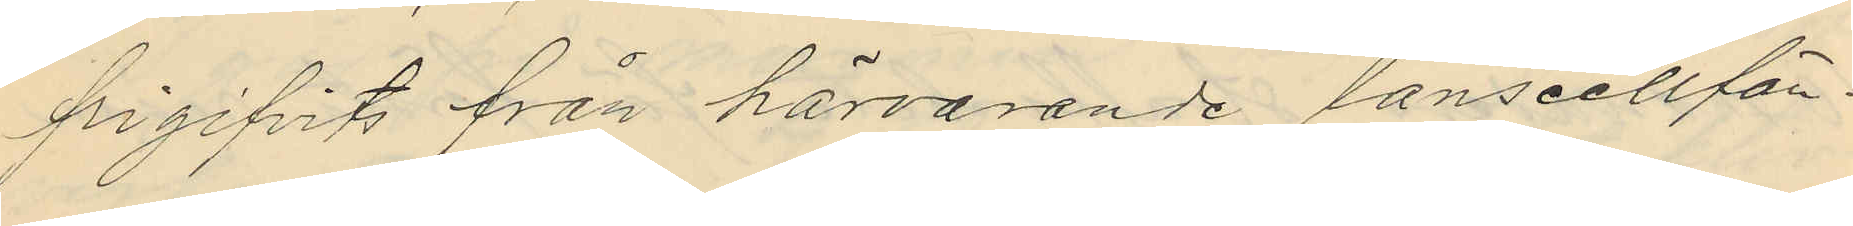frigifvits från härvarande länscellfän¬
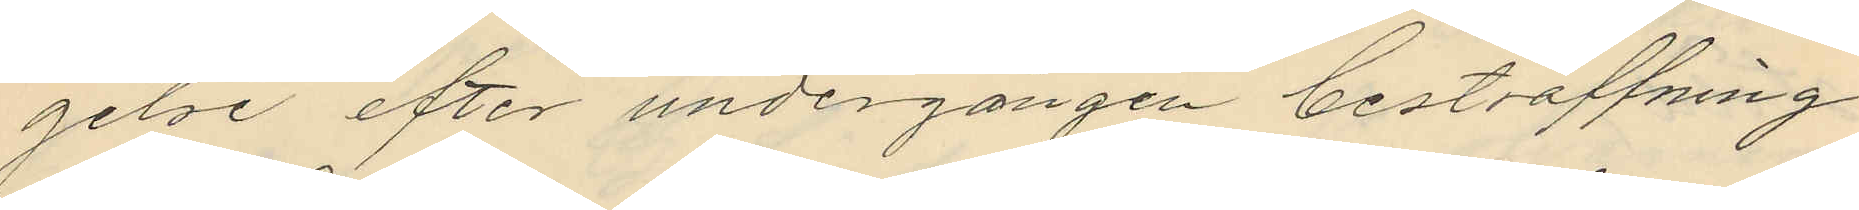gelse efter undergången bestraffning
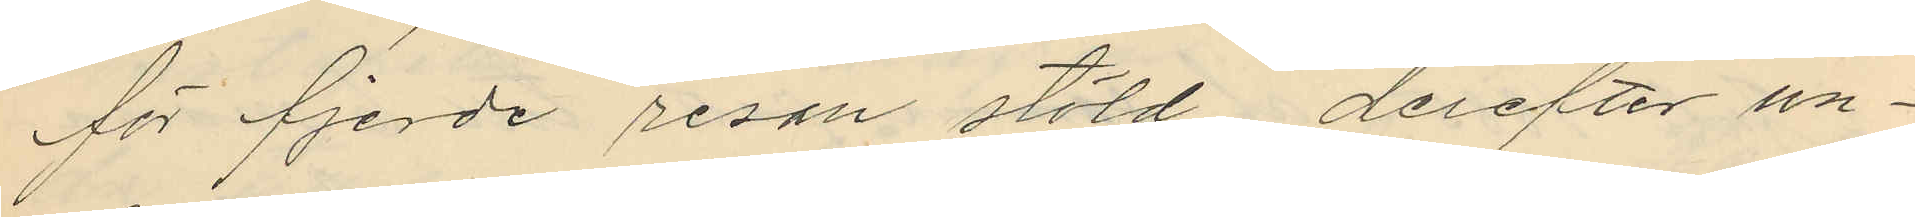för fjerde resan stöld derefter un¬
